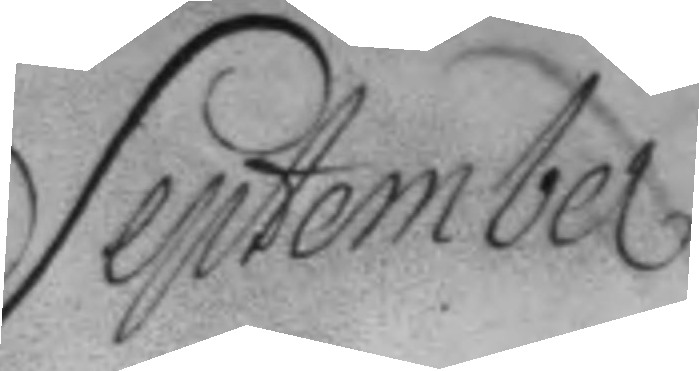September
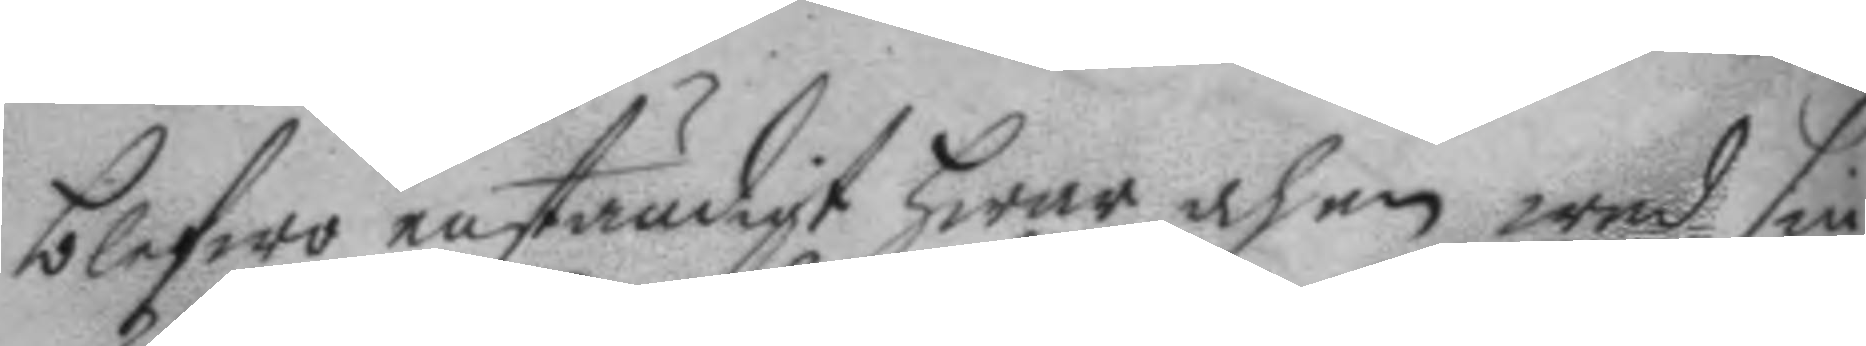blefwo enständigt hwar och en med sin
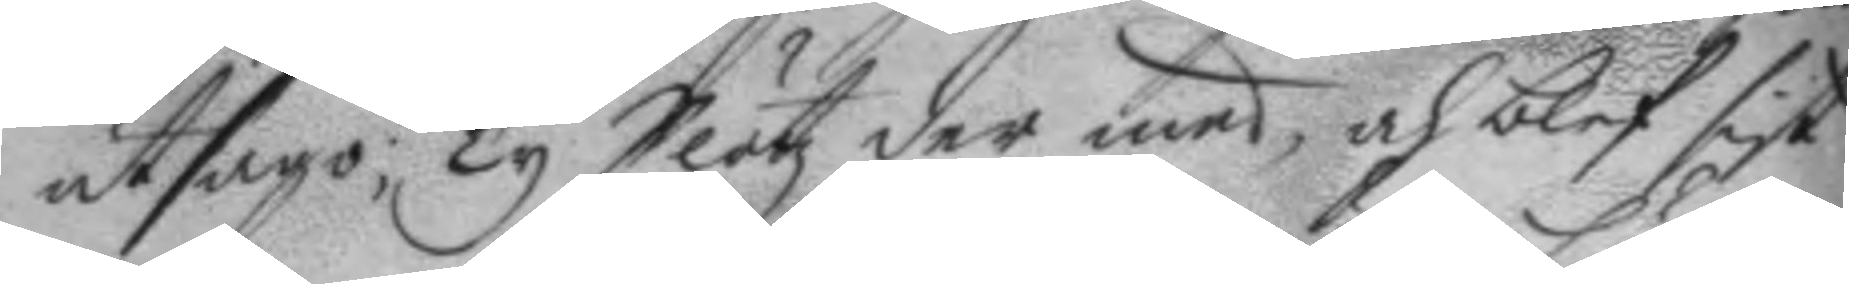utsago; Ty Slötz der med, och blef sist
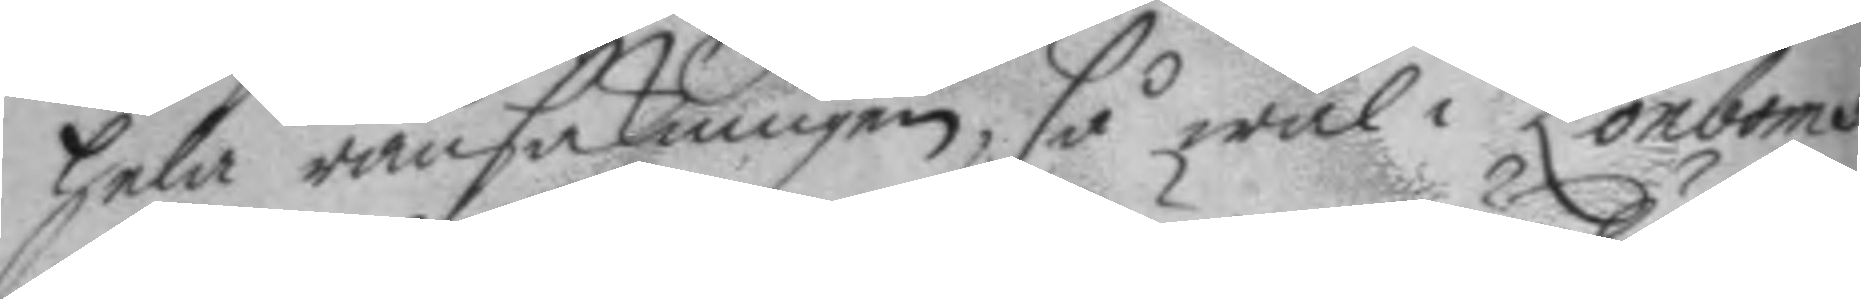hela ransakningen, så wäl i Lönboms
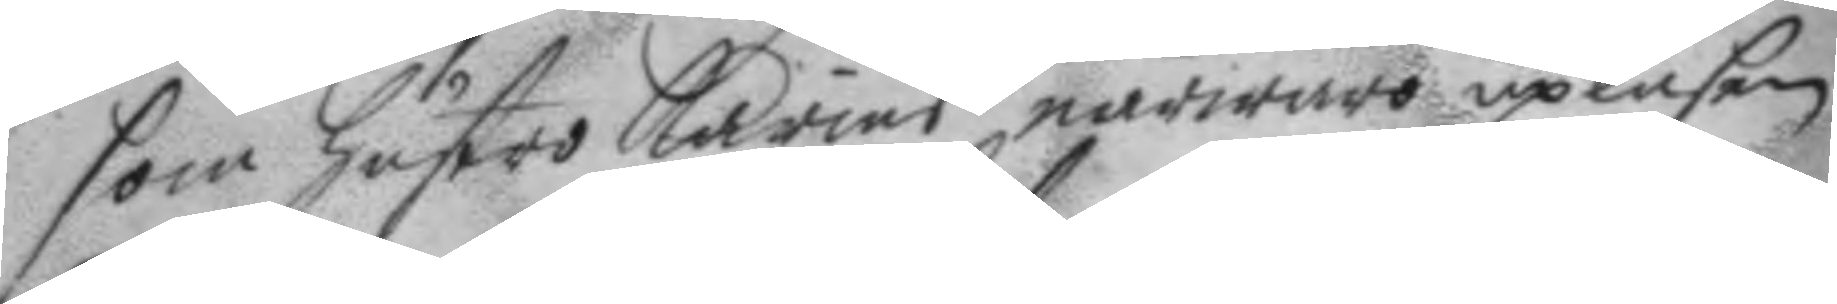som hustro Karins närwaro upläsen;
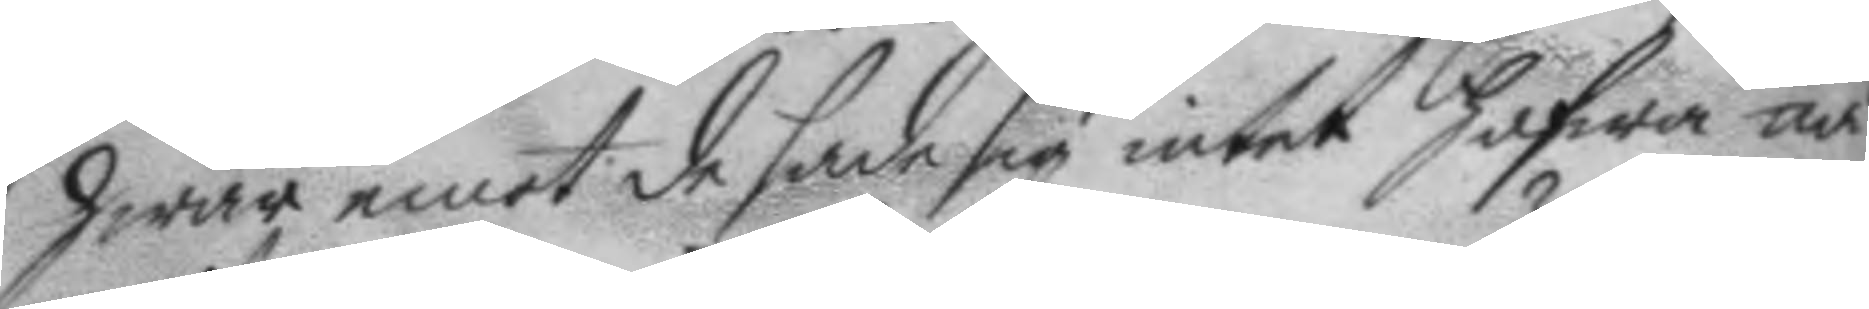hwar emot de sade sig intet hafwa nå¬
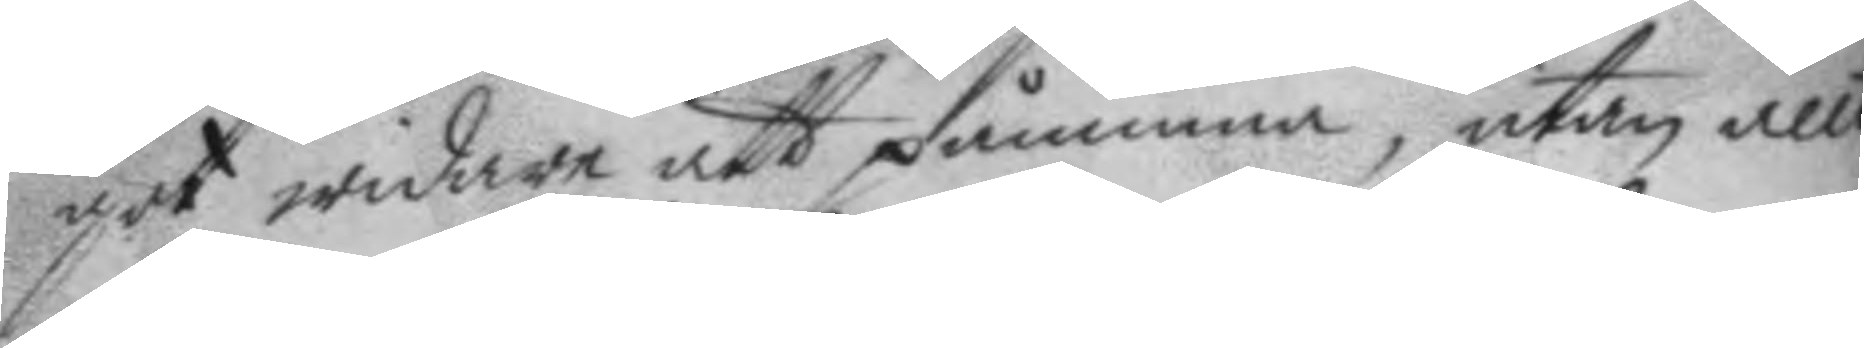got widare att påminna, utan allt
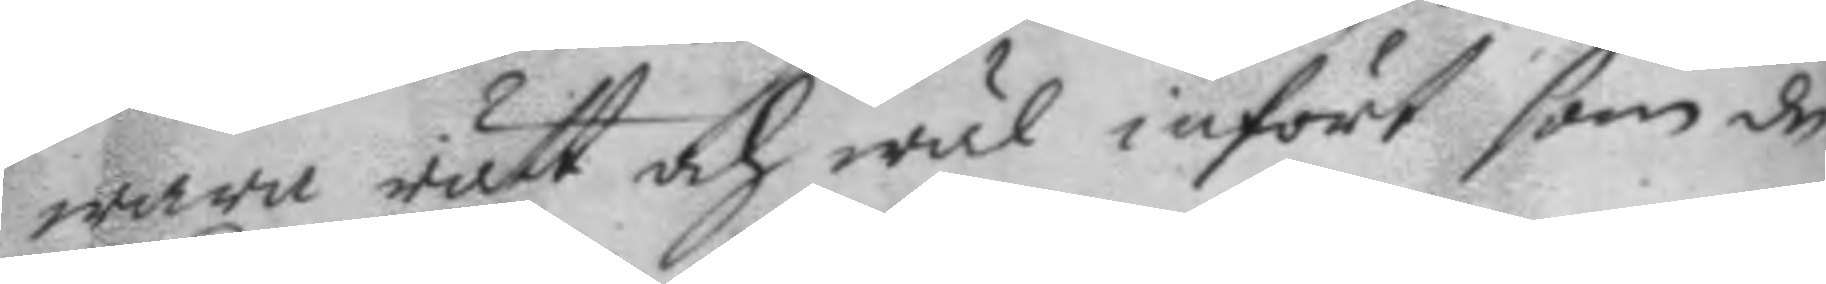wara rätt och wäl infört som de
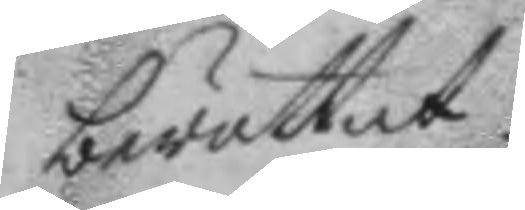berättat.
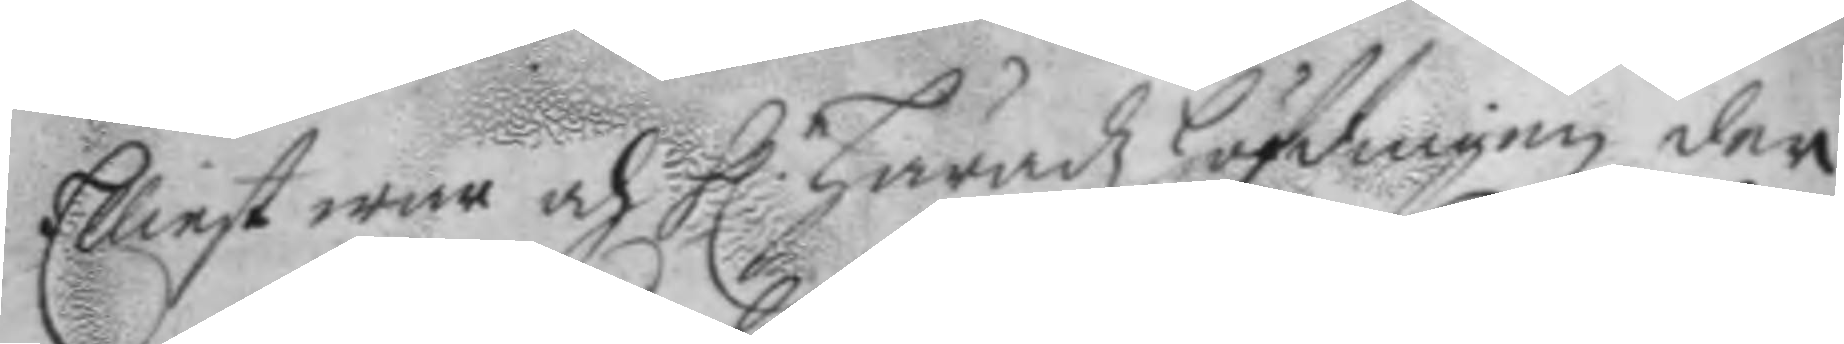Elliest war och h. häradz höfdingen der
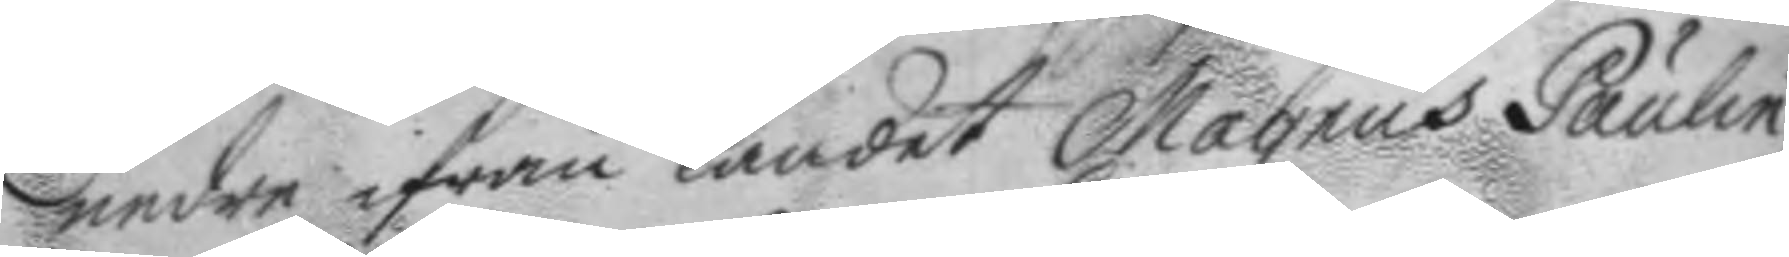neder ifrån landet Magnus Paulin
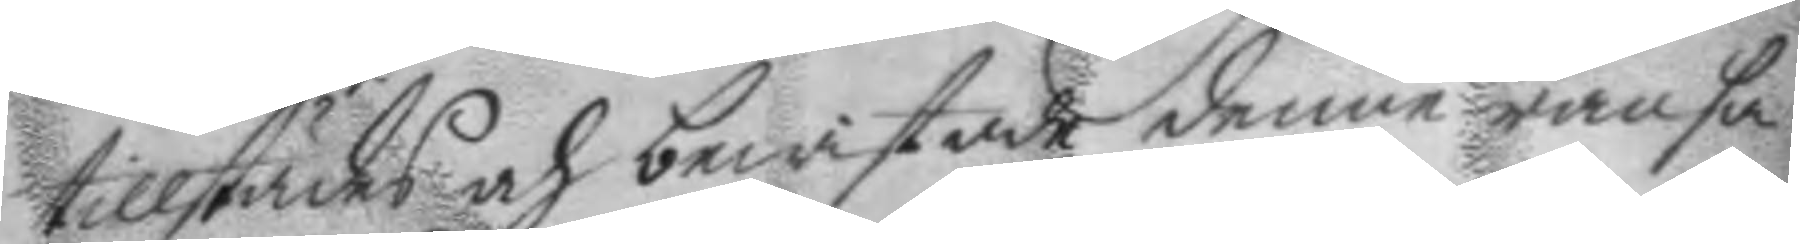tillstädes och bewistade denne ransa¬
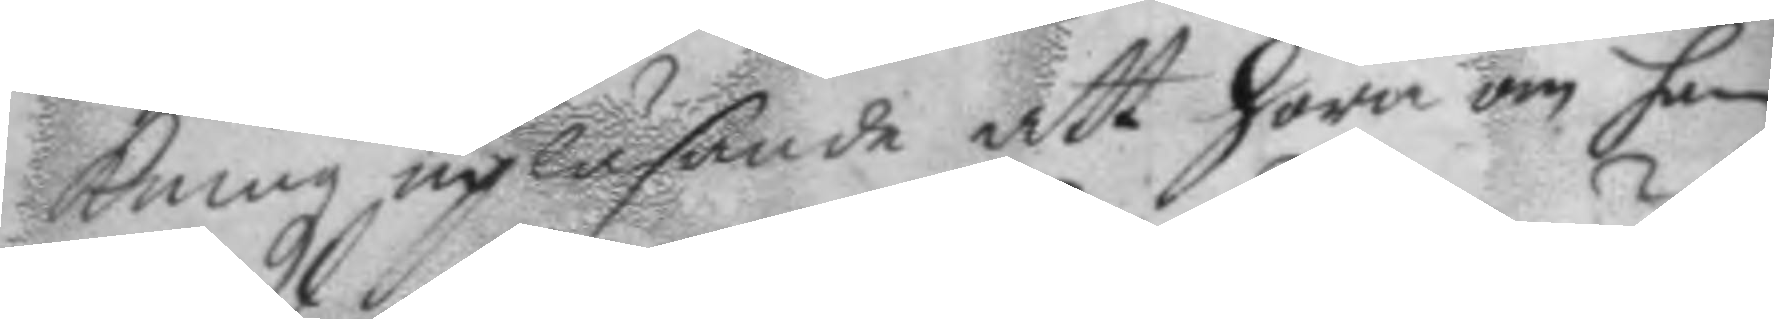kningz upläsande att höra om han
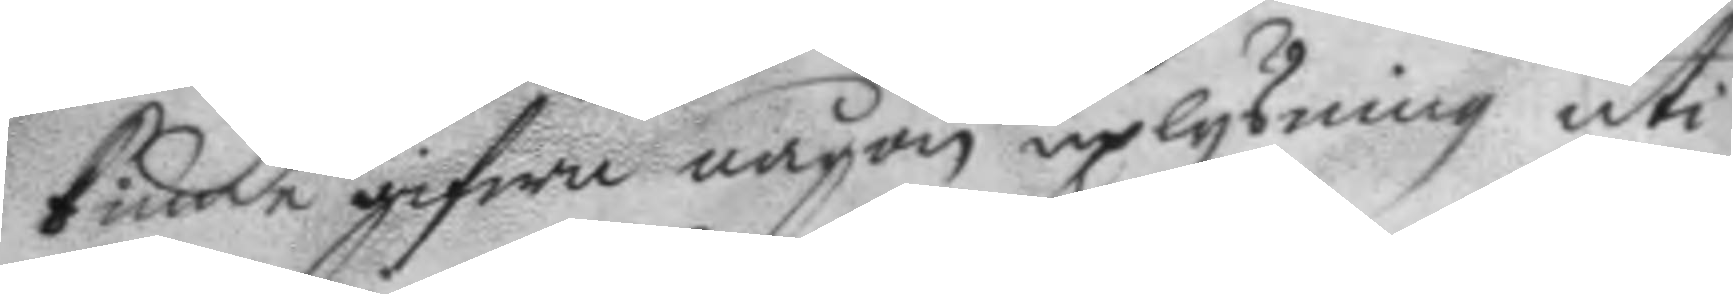kunde gifwa någon uplysning uti,
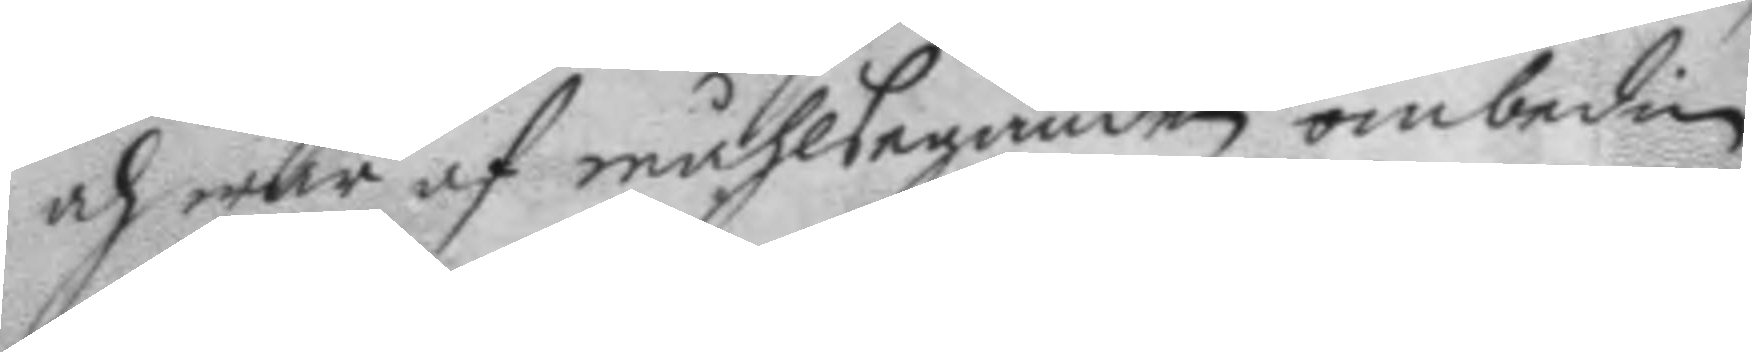och war af måhlseganden ombedien
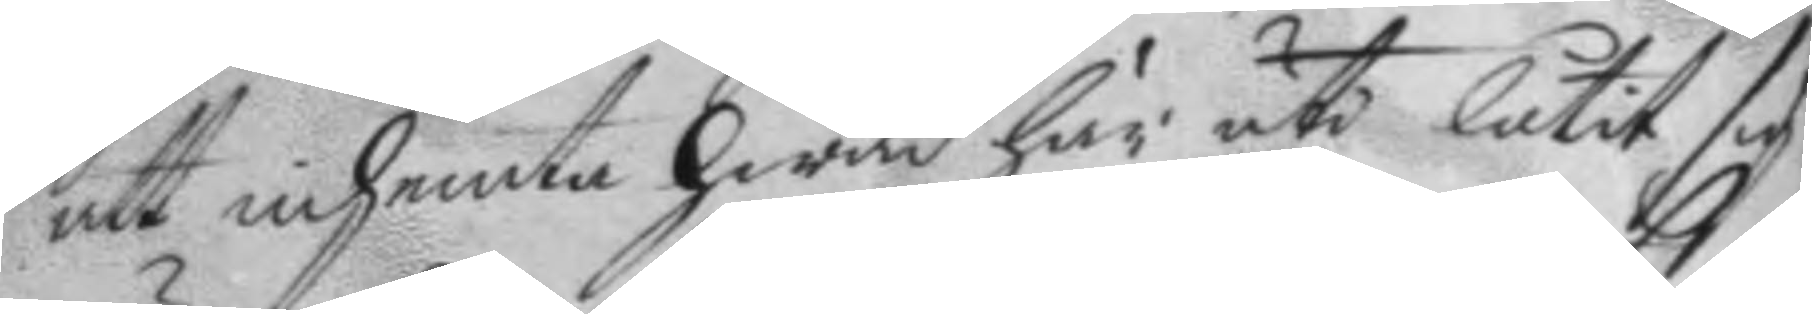att inhemta hwad här uti låtit sig
